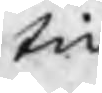tid
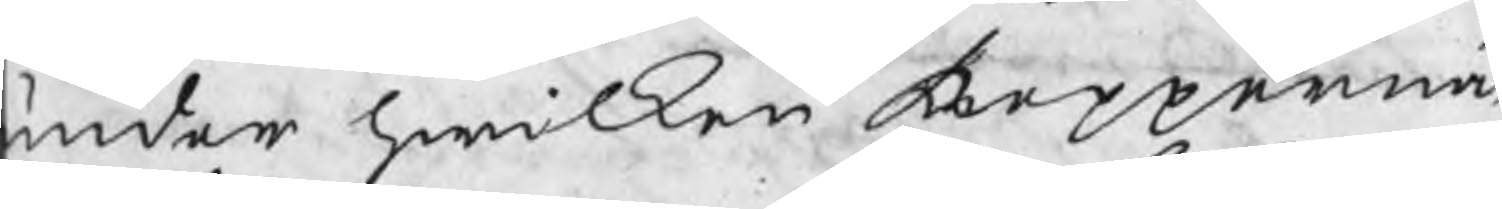under hwilken Kopparnä¬
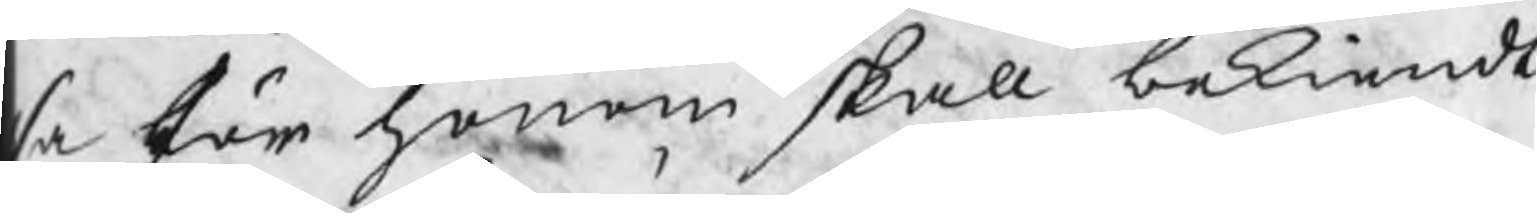sa för honom skall bekiendt
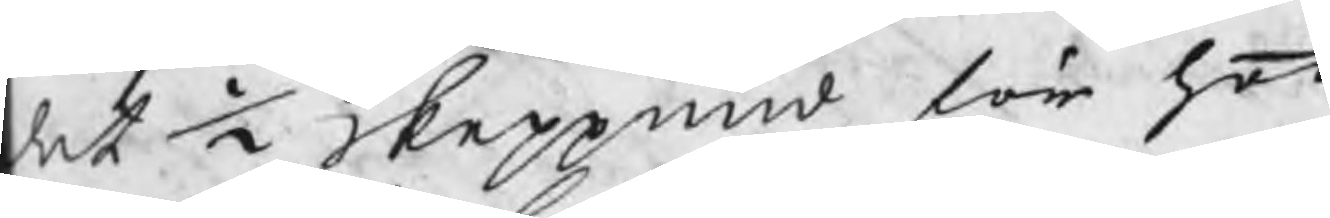det ½ skeppund för hoo
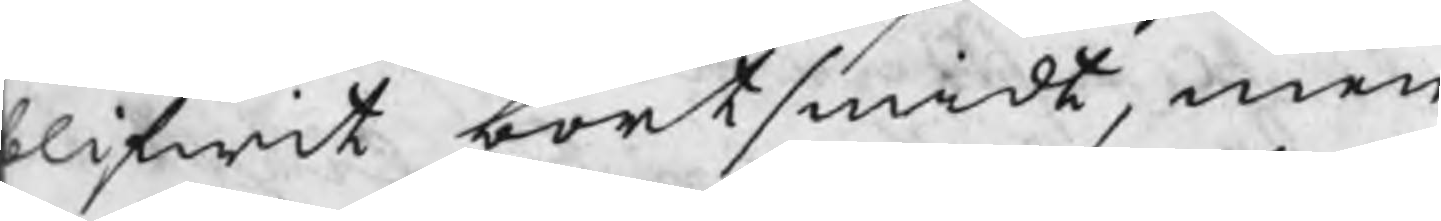blifwit bortsmidt, men
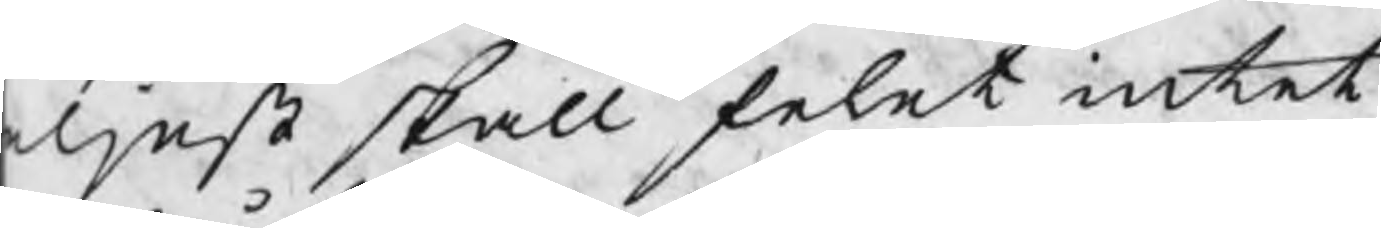eljest skall felat intet
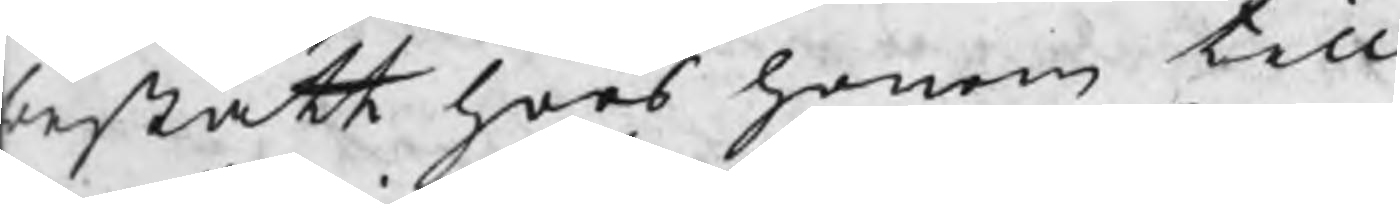bestått hoos honom till
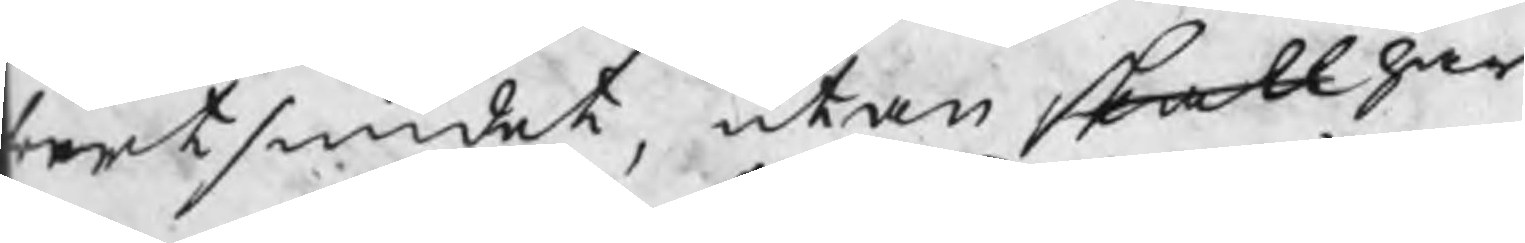bortsmidet, utan skall har
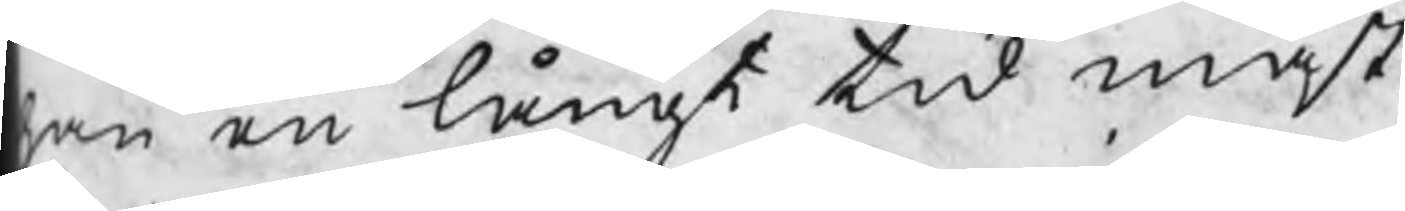han en långt tid måst
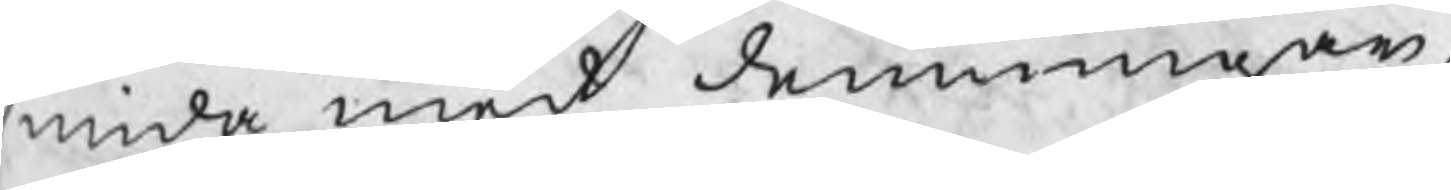smida med demningar
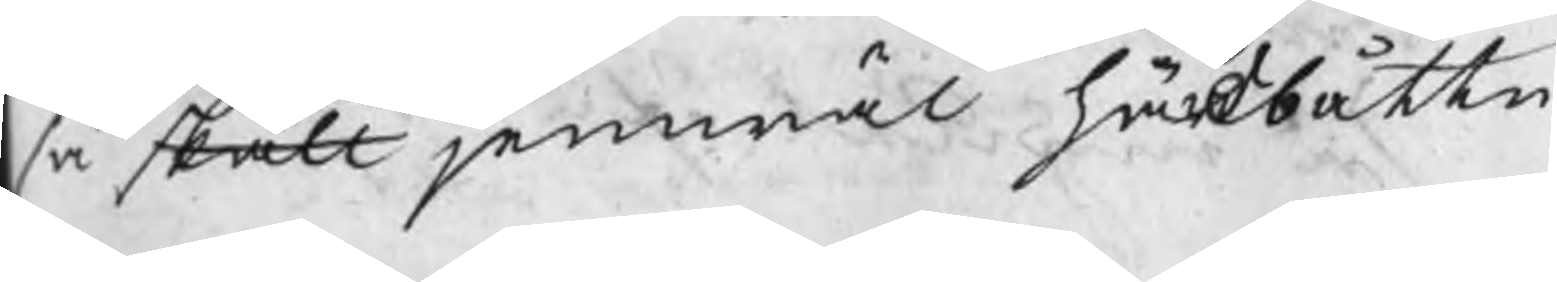så skall jemwäl härdbåttn
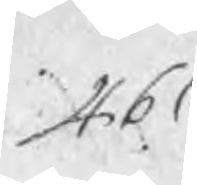461
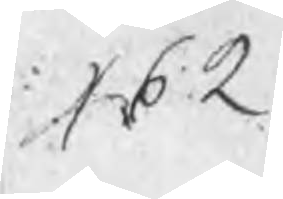462
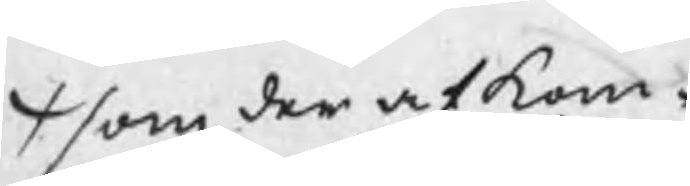¬/ som der af kom
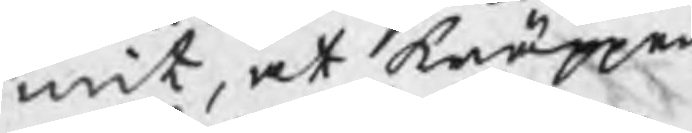mit, at knäppen
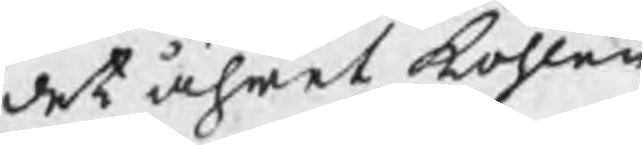det åhret kohlen
